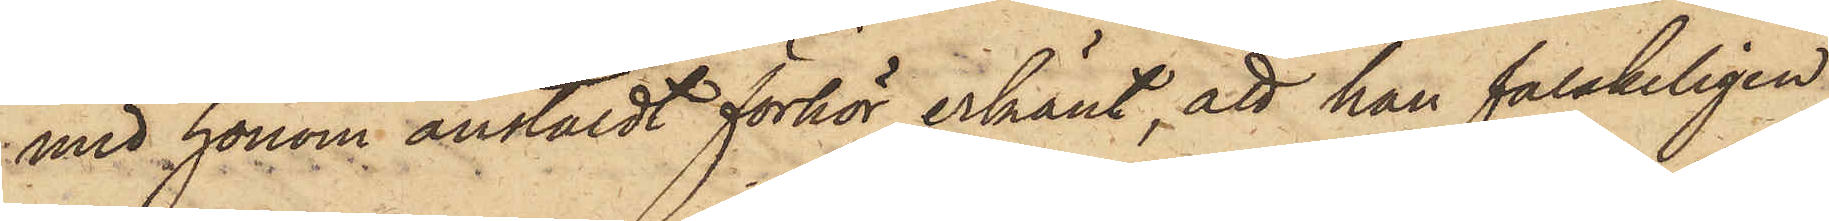med honom anstäldt förhör erkänt, att han falskeligen
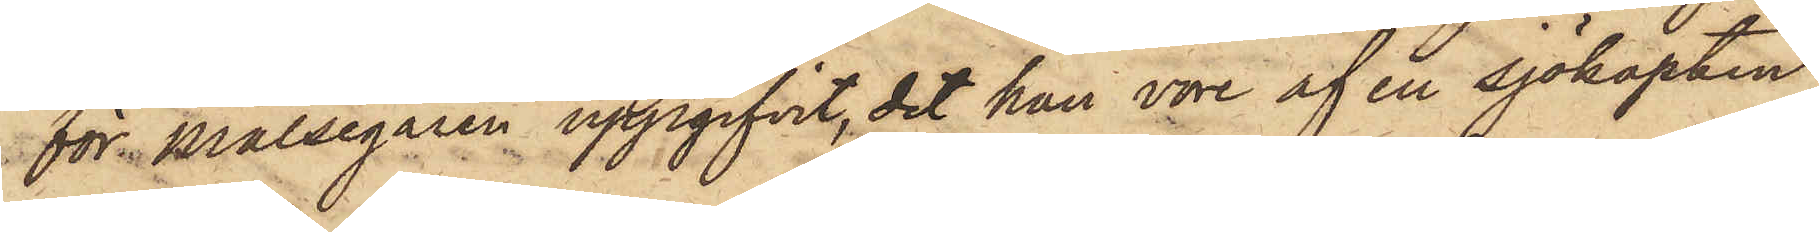för Målsegaren uppgifvit, det han vore af en sjökapten
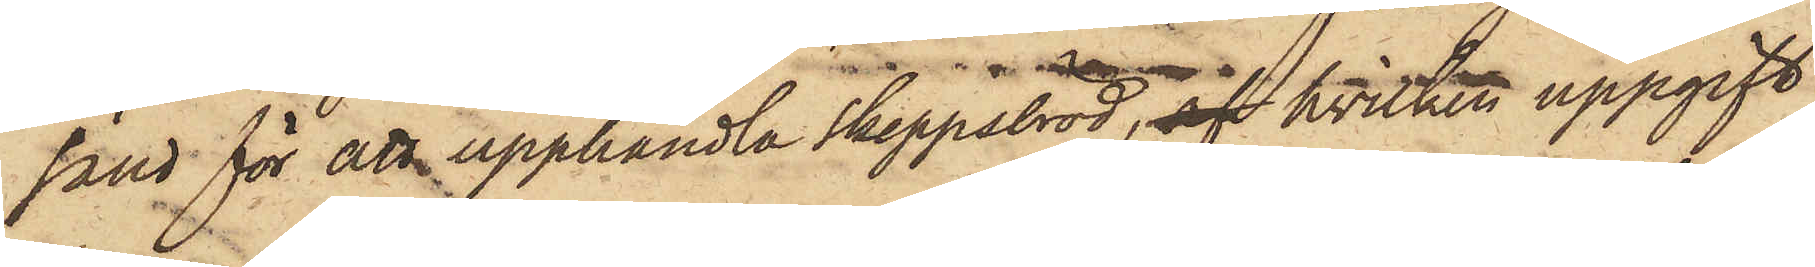sänd för att upphandla Skeppsbröd, af hvilken uppgift
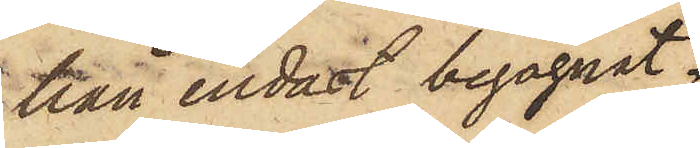han endast begagnat
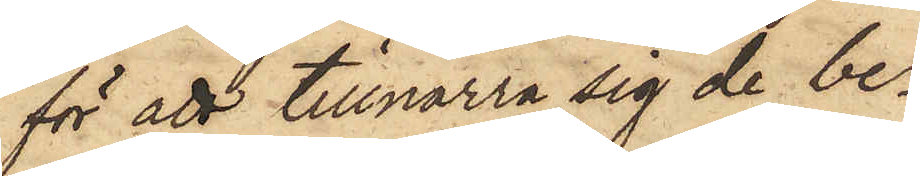för att tillnarra sig de be¬
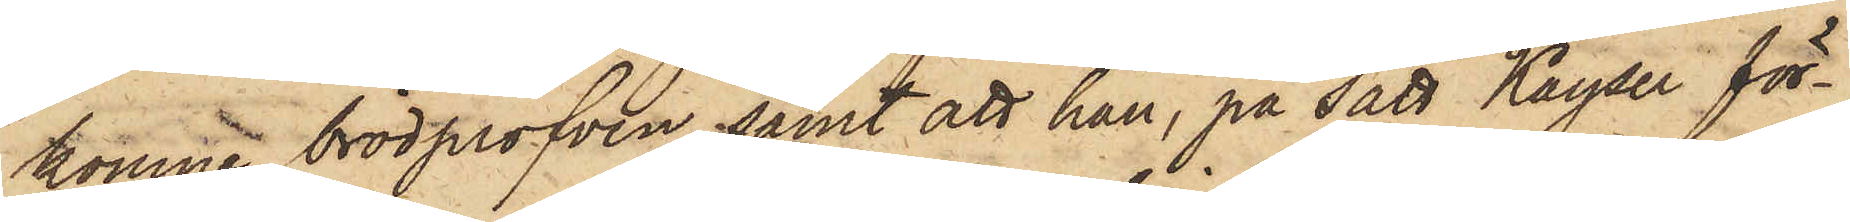komne brödprofven, samt att han, på sätt Kayser för¬
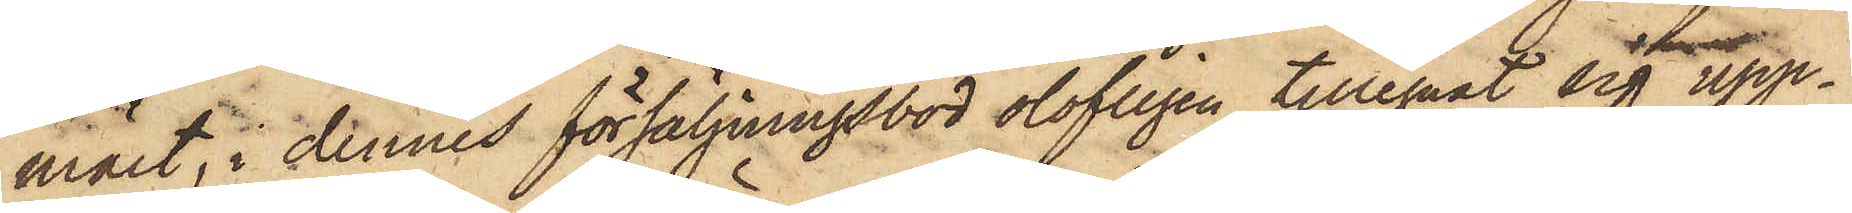mält, i dennes försäljningsbod olofligen tillegnat sig upp¬
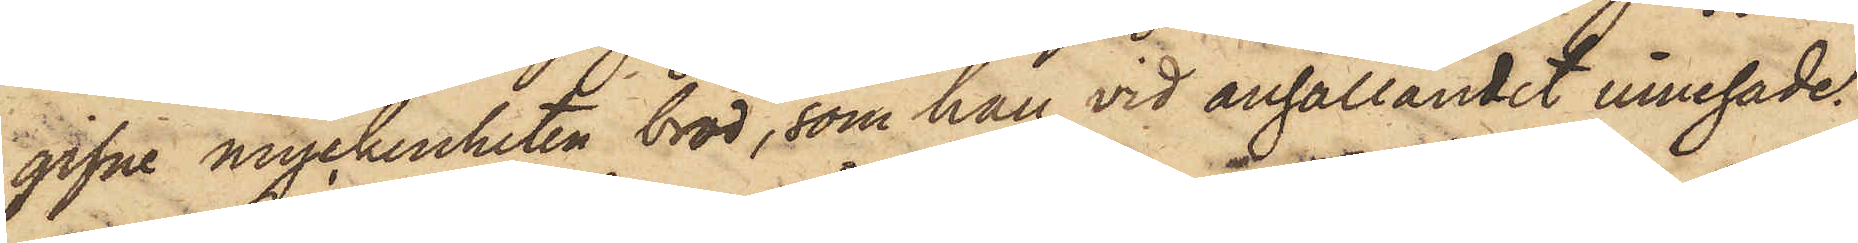gifne myckenheten bröd, som han vid anhållandet innehade.
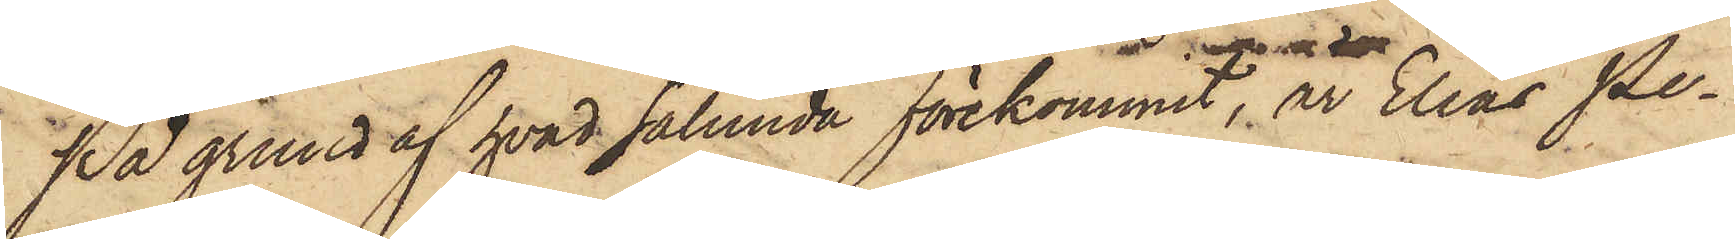På grund af hvad sålunda förekommit, är Elias Pe¬
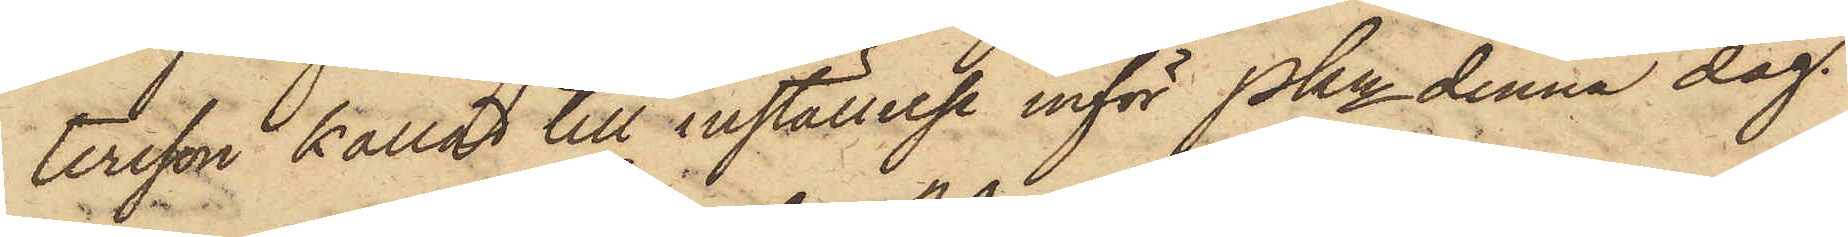tersson kallad till inställelse inför Pkn denna dag.
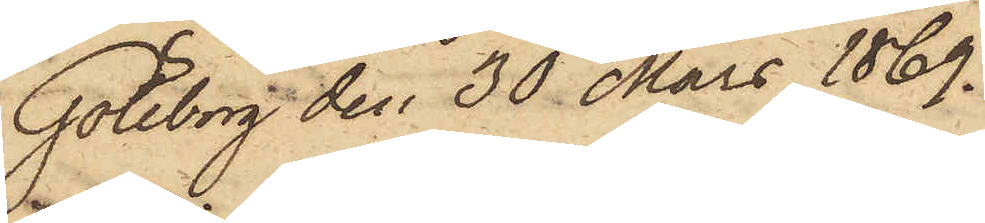Göteborg den 30 Mars 1869.
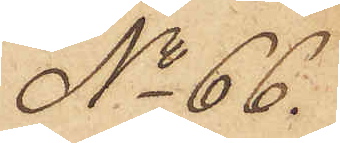No 66.
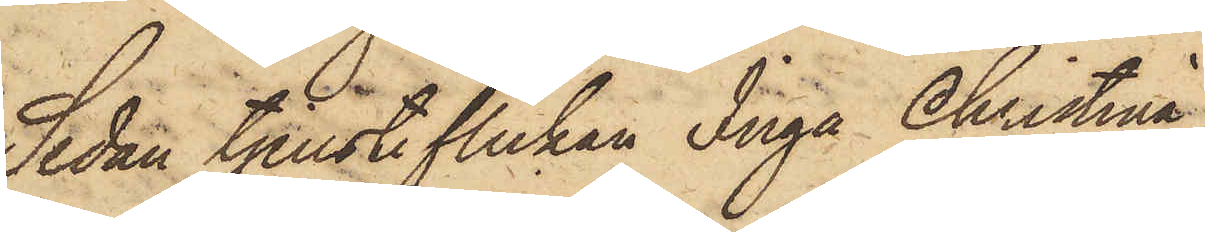Sedan Tjensteflickan Inga Christina
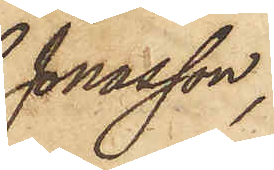Jonasson,
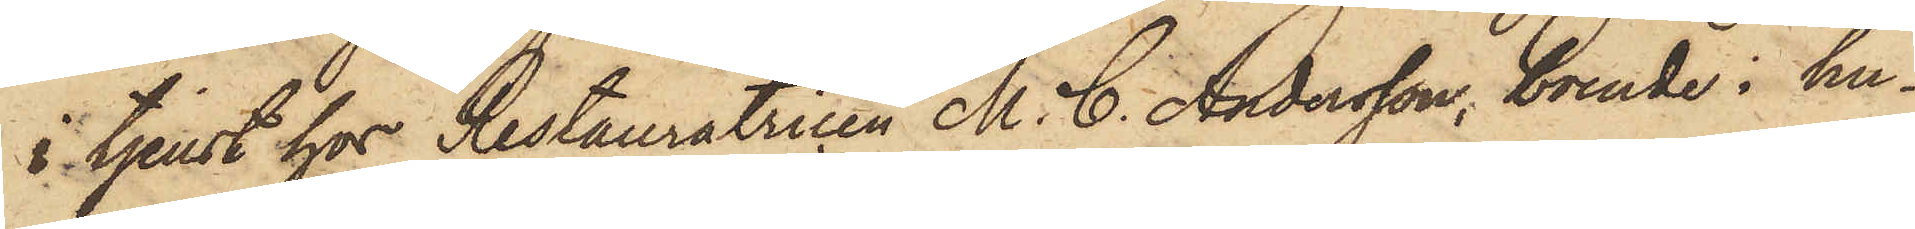i tjenst hos Restauratricen M. C. Andersson, boende i hu¬
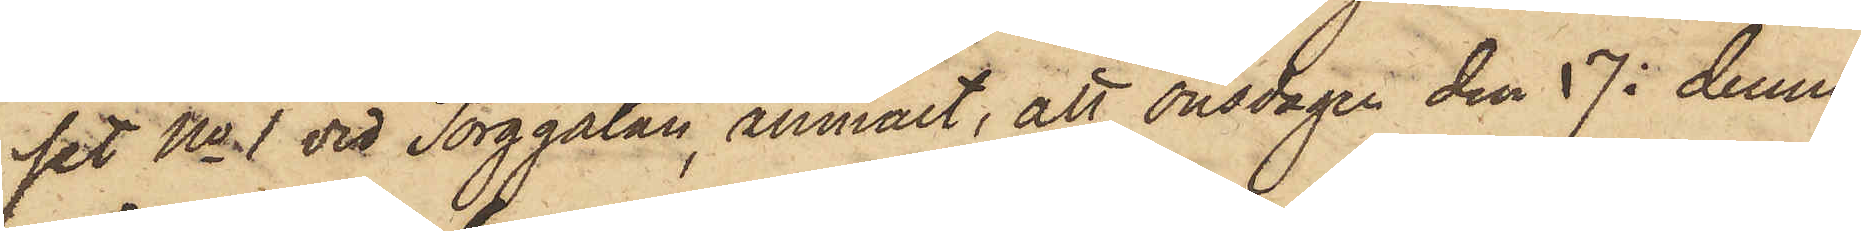set No 1 vid Torggatan, anmält, att onsdagen den 17 i denna
